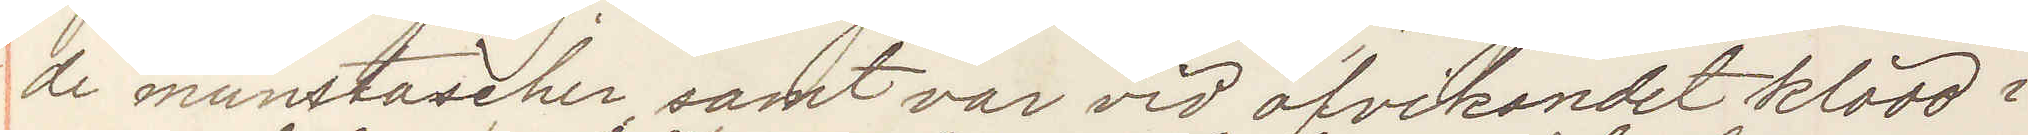de munstascher samt var vid afvikandet klädd i
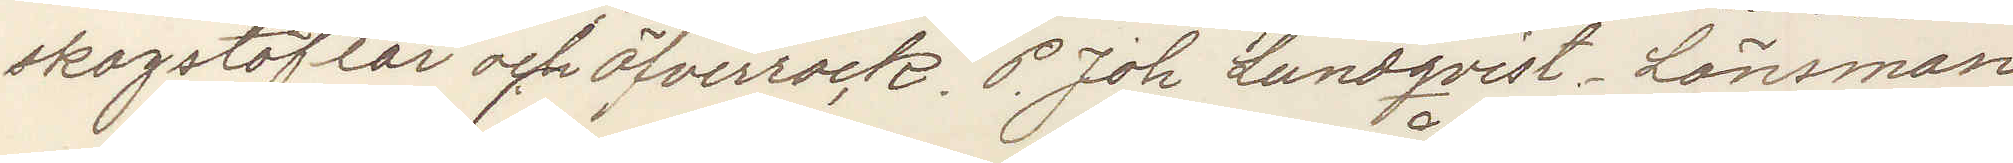skogstöflar och öfverrock. P. Joh Lundqvist, Länsman
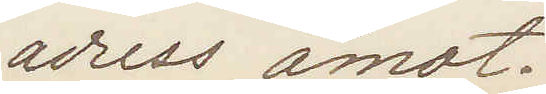adress åmot.
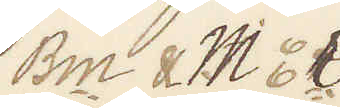Bm & Mör
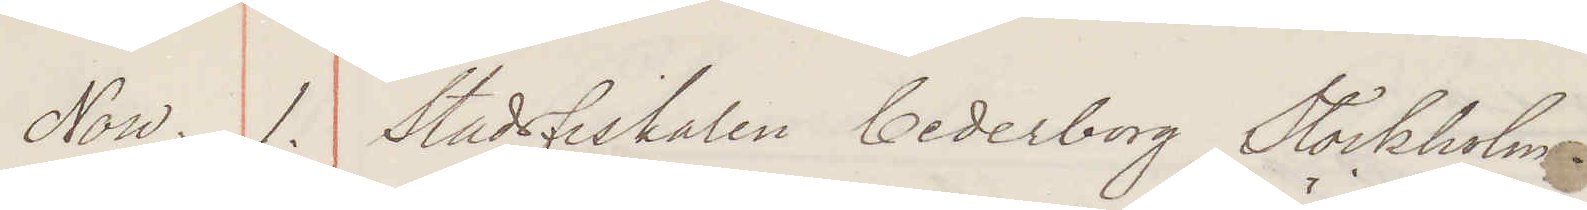Now. 1. Stadsfiskalen Cederborg Stockholm.
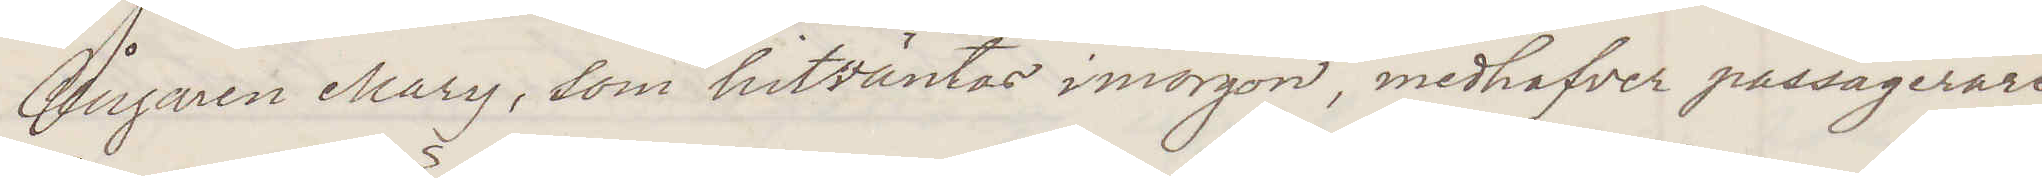Ångaren Mary, som hitväntas imorgon, medhafver passagerare¬
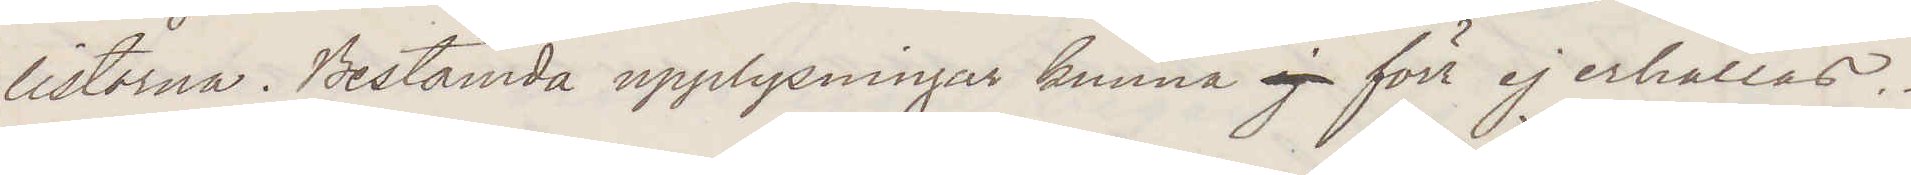listorna. Bestämda upplysningar kunna ej förr ej erhållas.
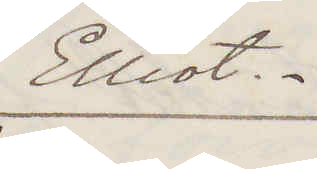Elliot.
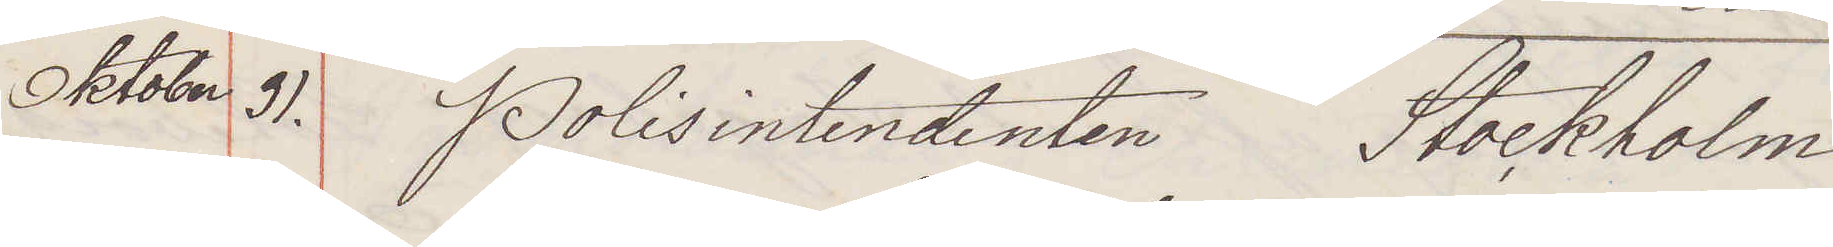Oktober 31. Polisintendenten Stockholm
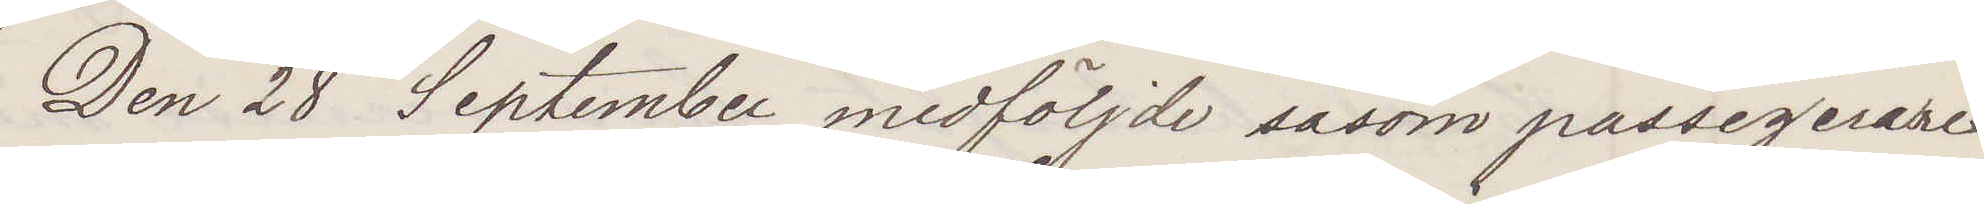Den 28 September medföljde såsom passagerare¬
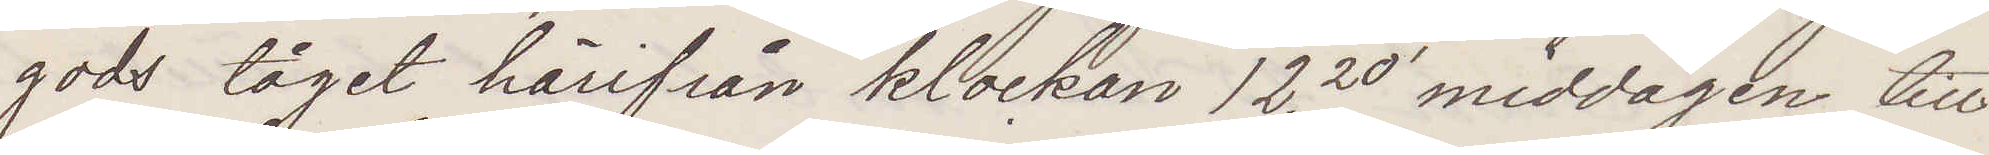gods tåget härifån klockan 12.20 middagen till
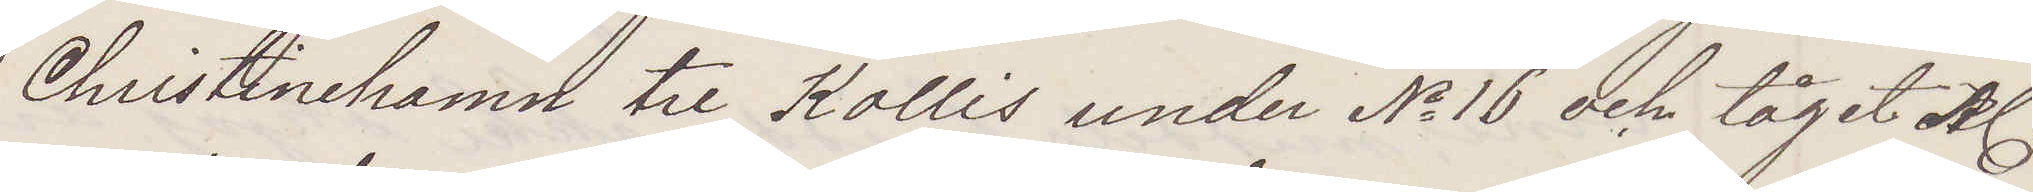Christinehamn tre Kollis under No 16 och tåget Kl
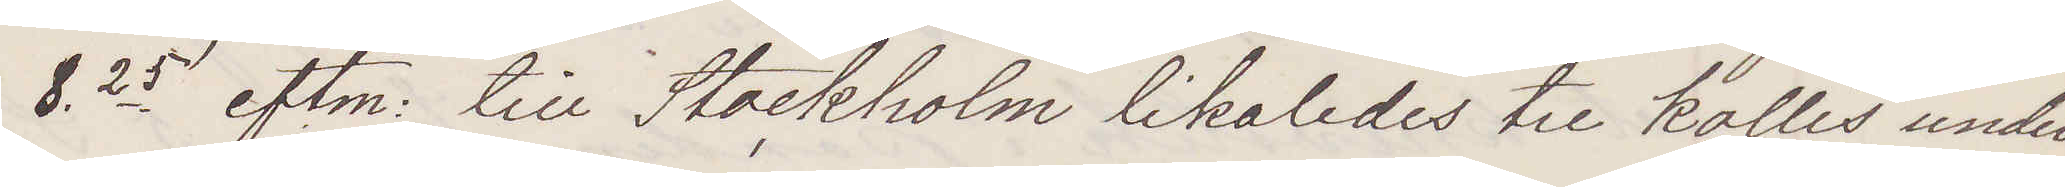8 25 eftm: till Stockholm likaleds tre kollis under
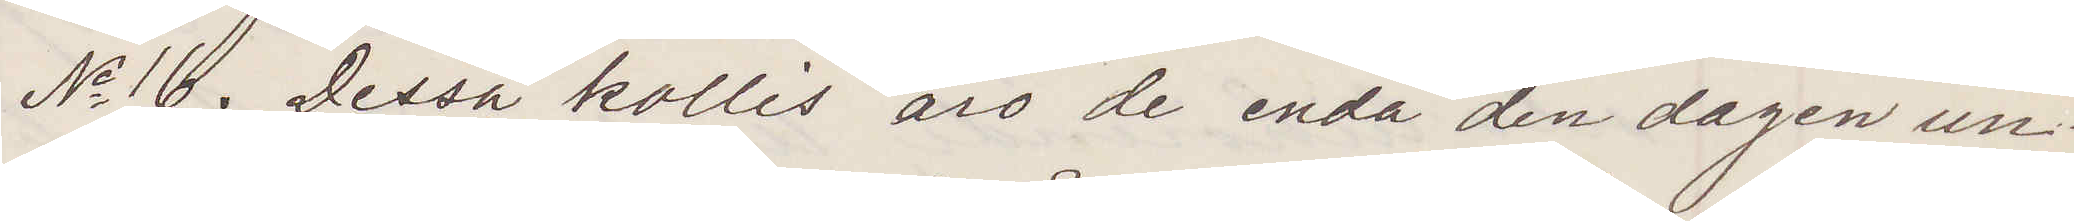No 16. Dessa kollis äro de enda den dagen un¬
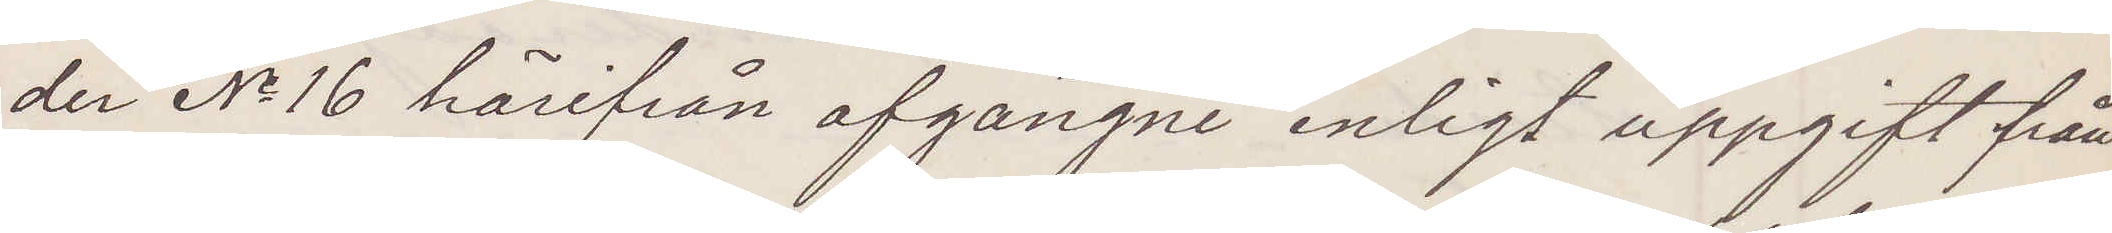der No 16 härifrån afgångne enligt uppgift från
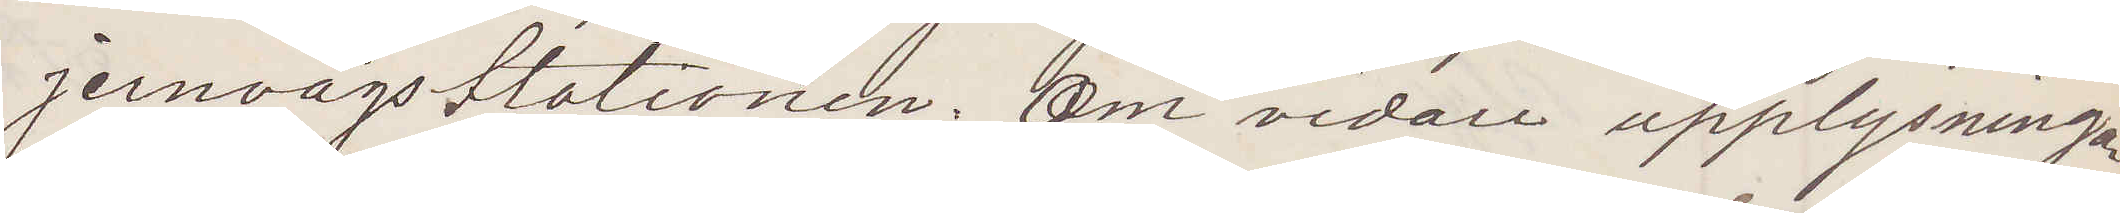jernvägsstationen. Om vidare upplysningar
